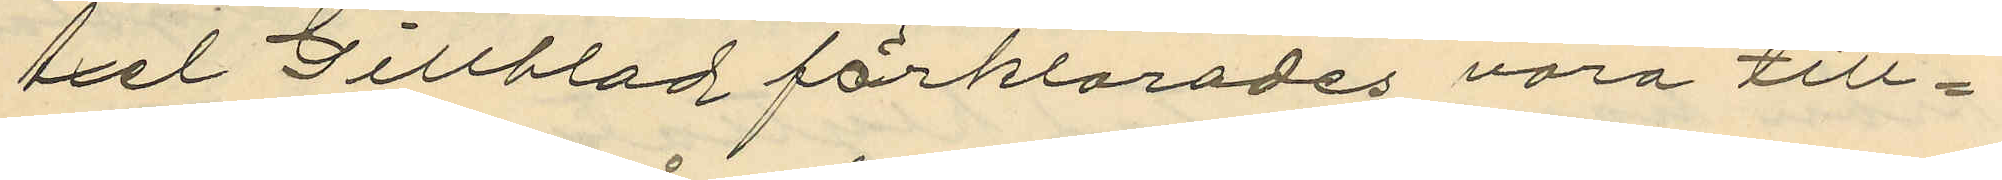Axel Gillblad förklarades vora till¬
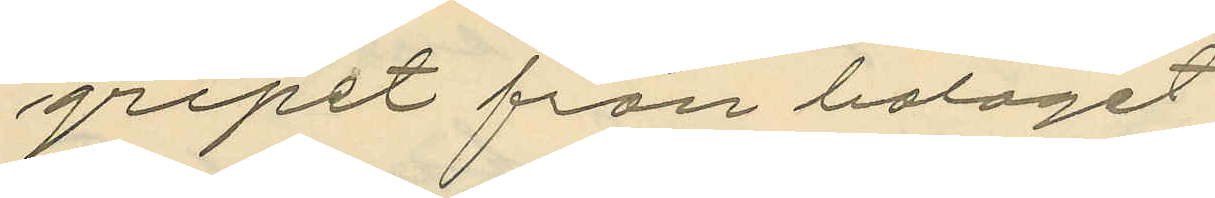gripet från bolaget.
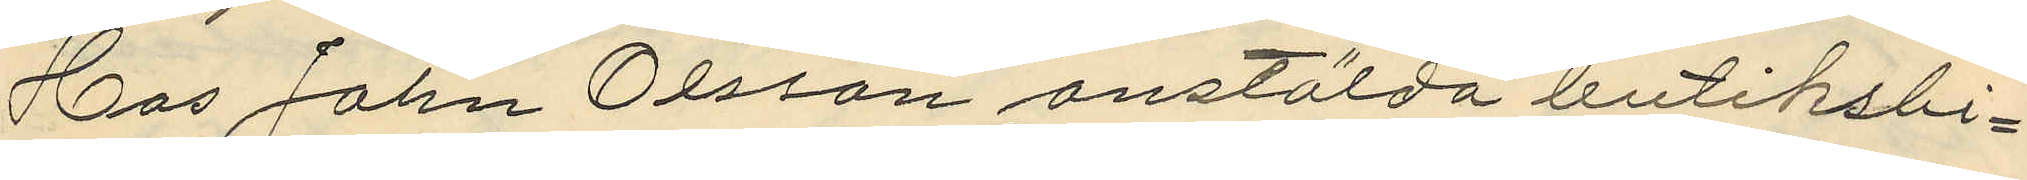Hos John Olsson anstälda butiksbi¬
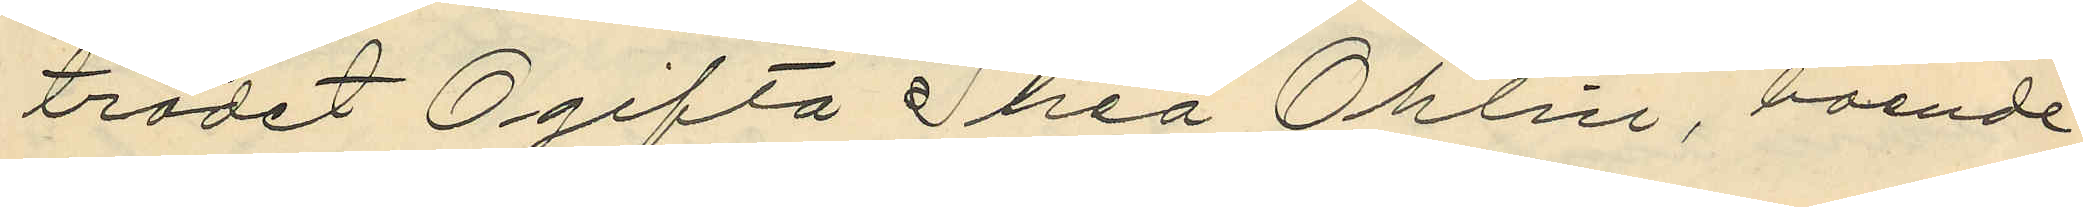trädet Ogifta Thea Ohlin, boende
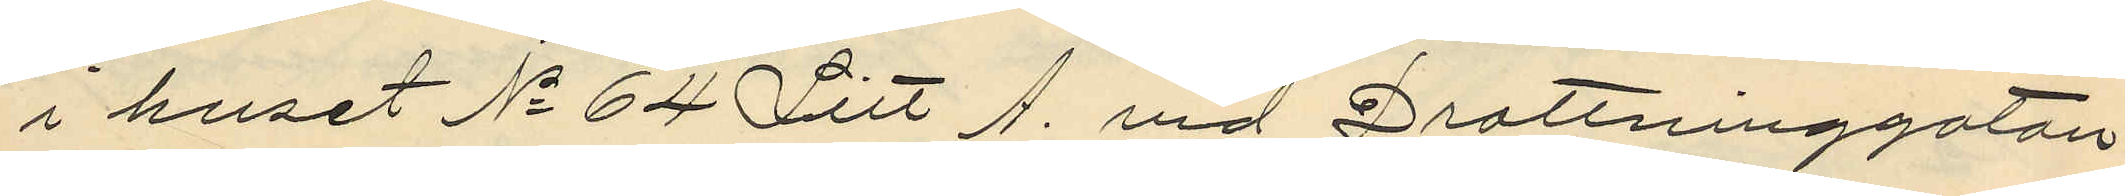i huset No 64 Litt A. vid Drottninggatan
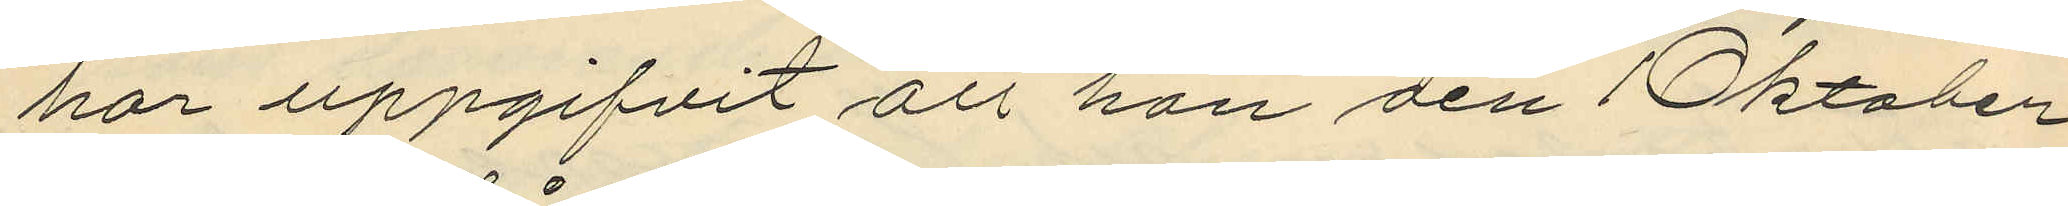har uppgifvit att han den 1 Oktober
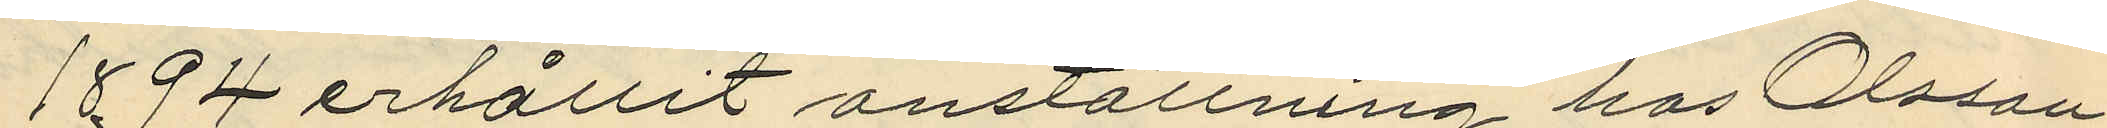1894 erhållit anställning hos Olsson
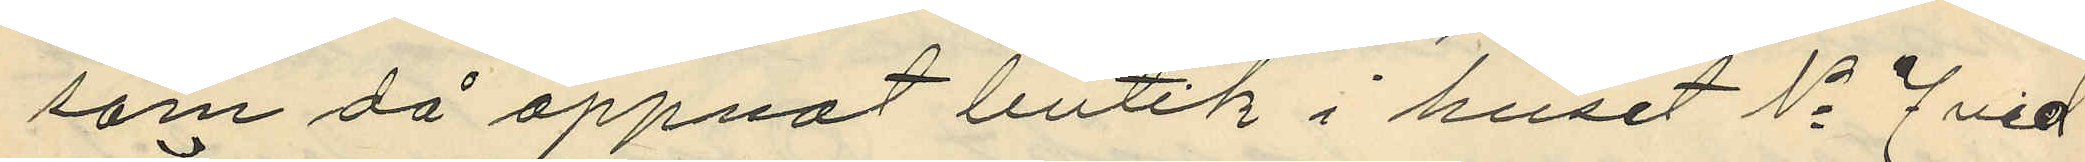som då öppnat butik i huset No 7 vid
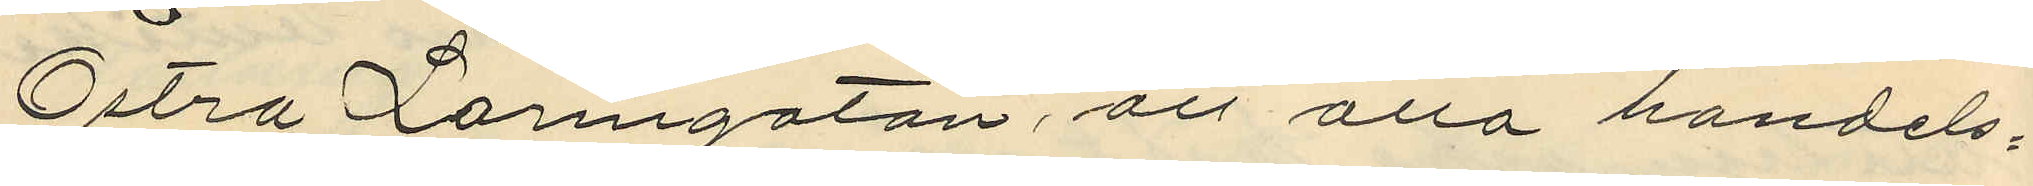Östra Larmgatan, att alla handels¬
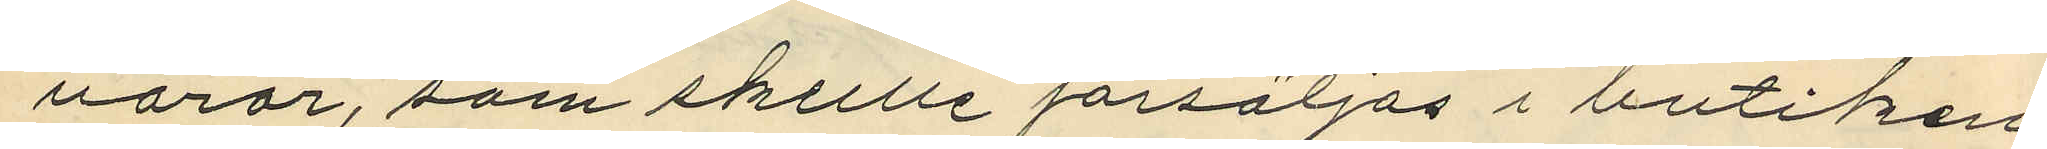varor, som skulle försäljas i butiken
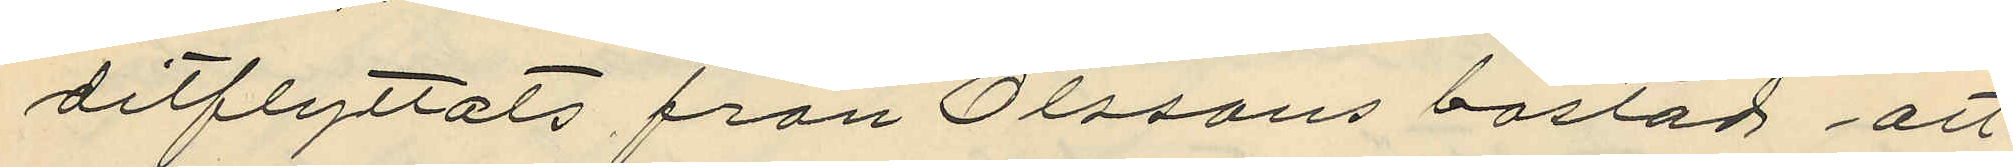ditflyttats från Olssons bostad; att
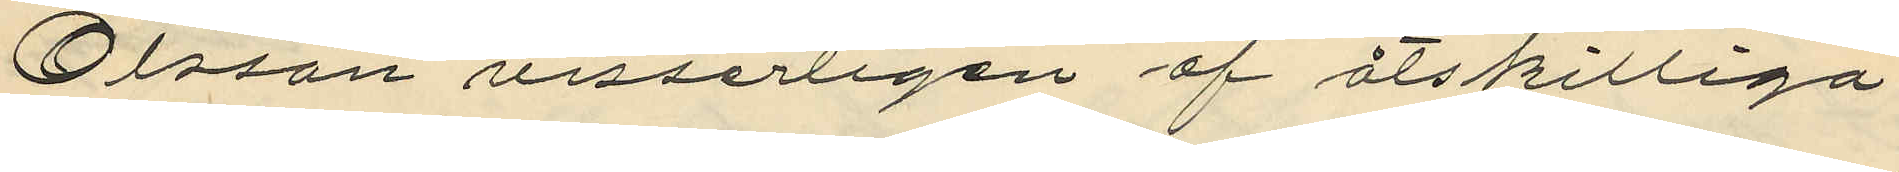Olsson visserligen af åtskilliga
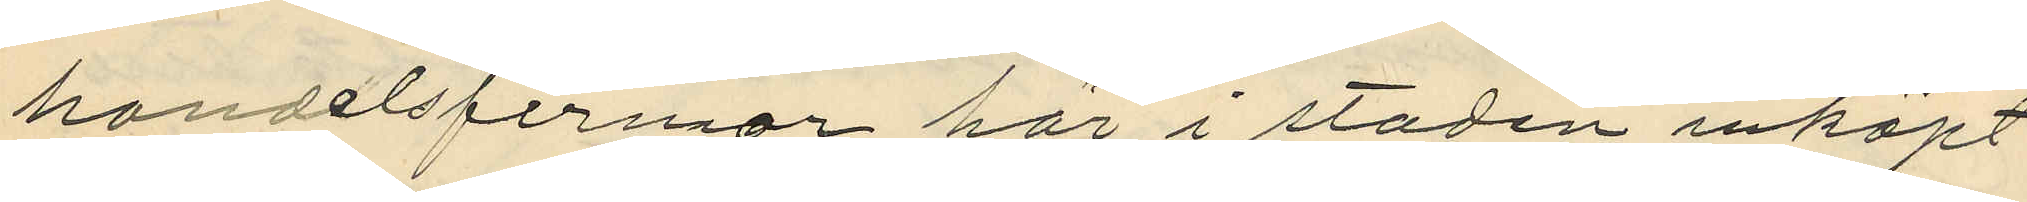handelsfirmor här i staden inköpt
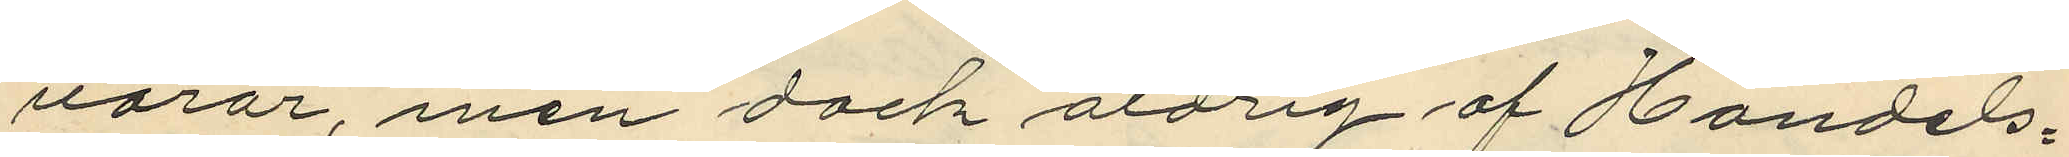varor, men dock aldrig af Handels¬
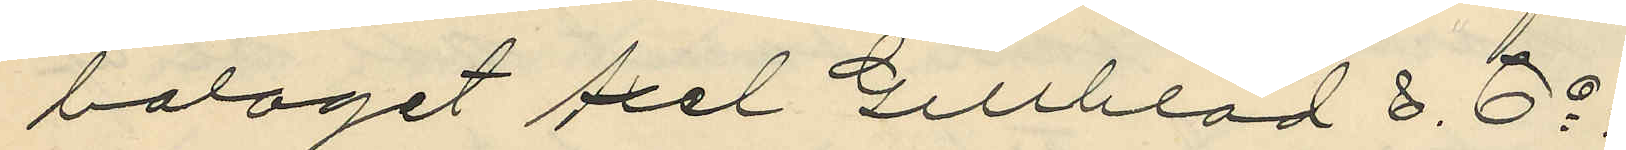bolaget Axel Gillblad & Co.
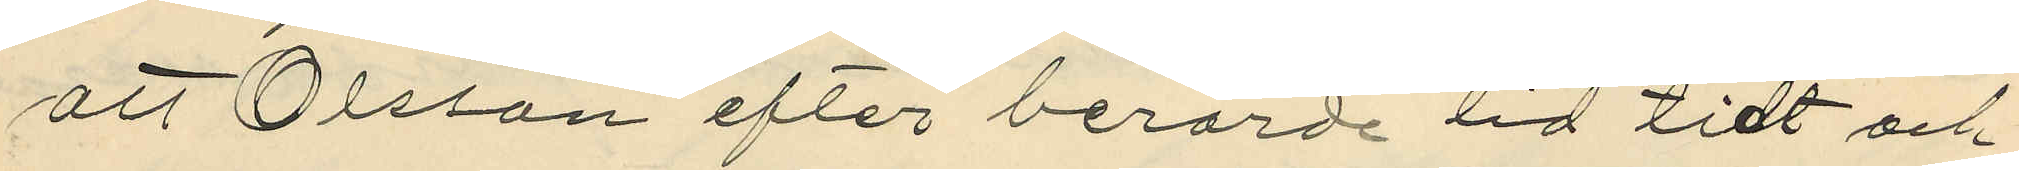att Olsson efter berörde tid tidt och
